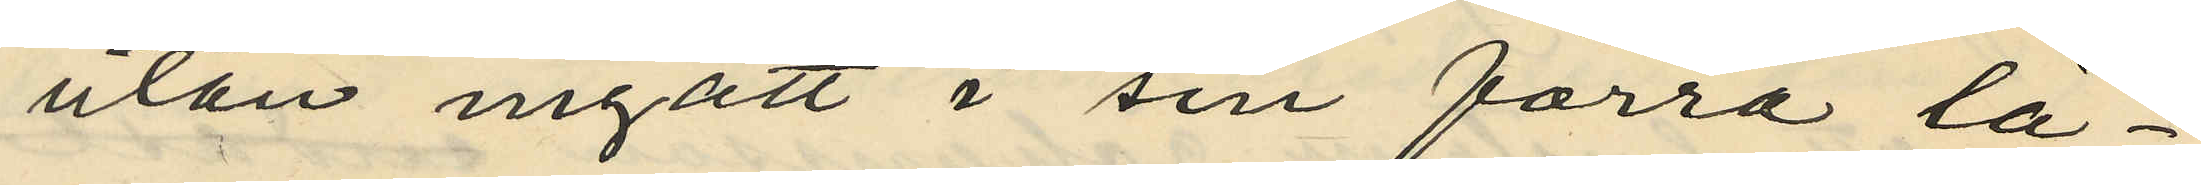utan ingått i sin förra lä¬
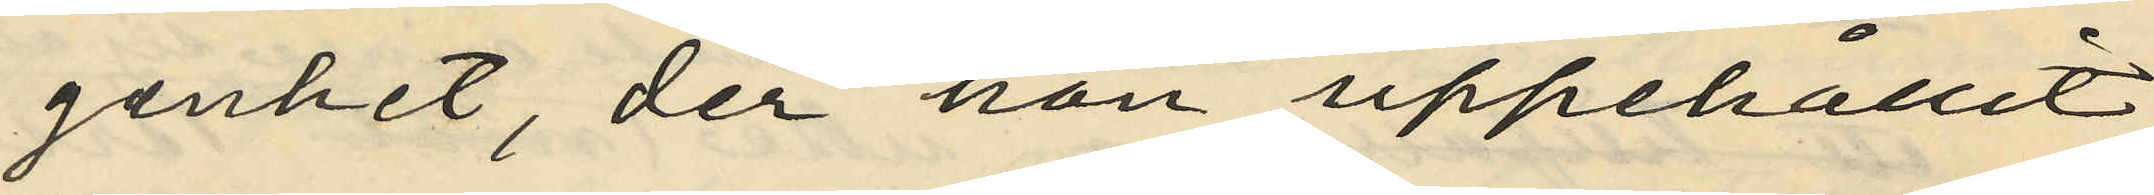genhet, der hon uppehållit
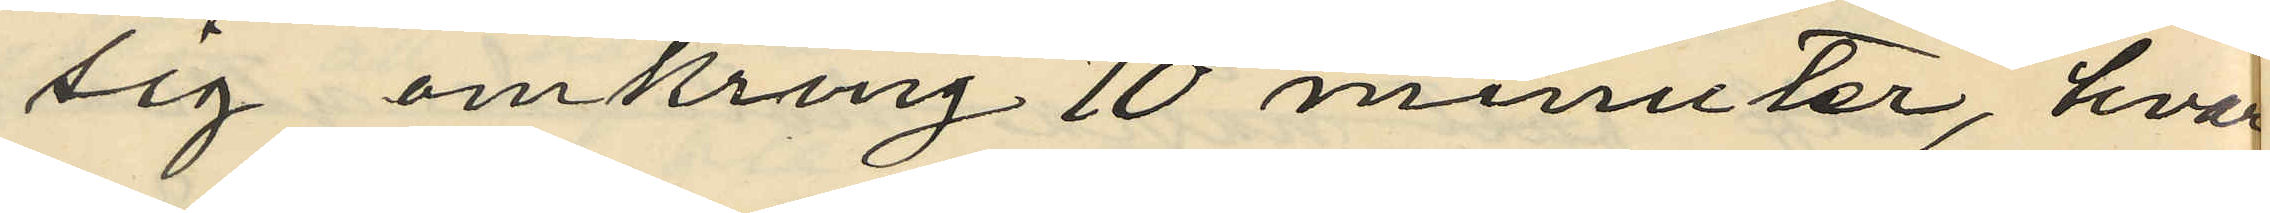sig omkring 10 minuter, hvar
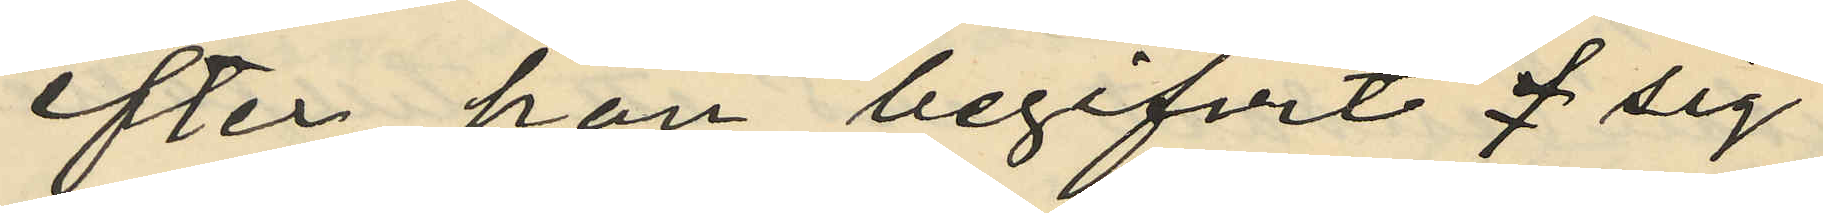efter hon begifvit sig
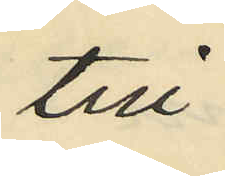till
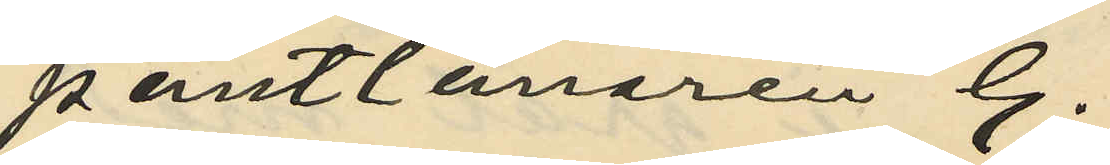pantlånaren G.
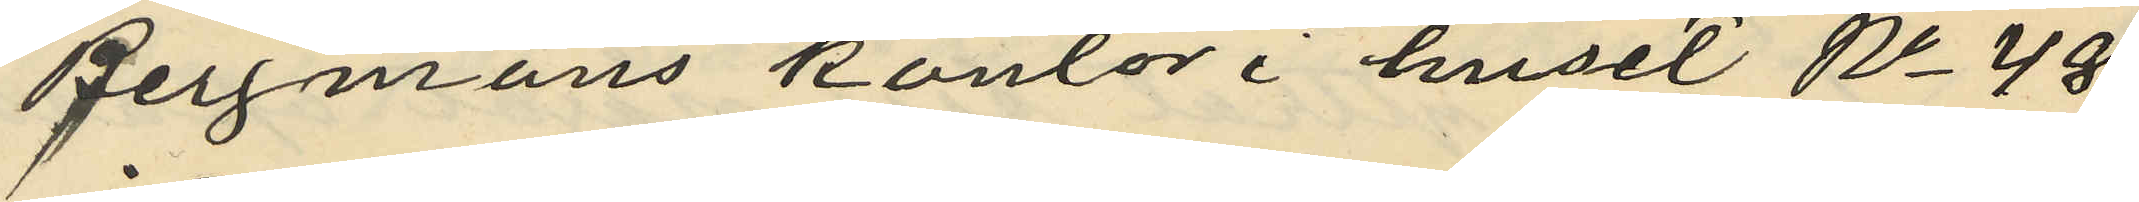Bergmans kontor i huset No 48
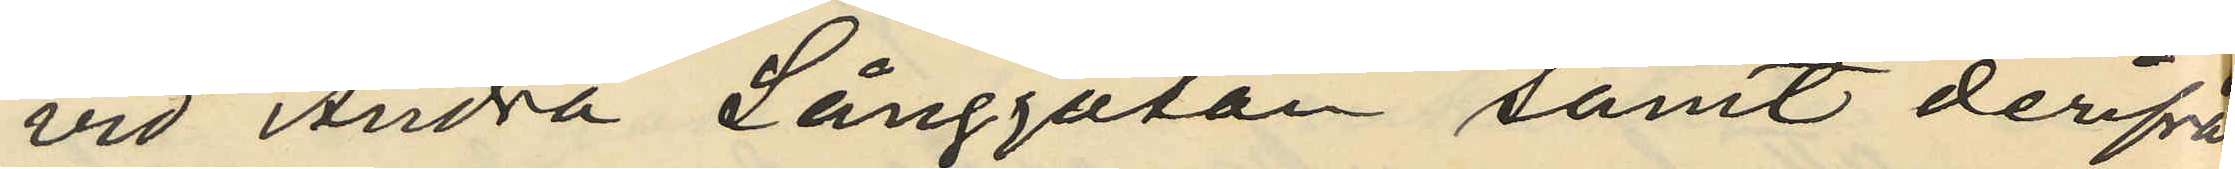vid Andra Långgatan samt derifån
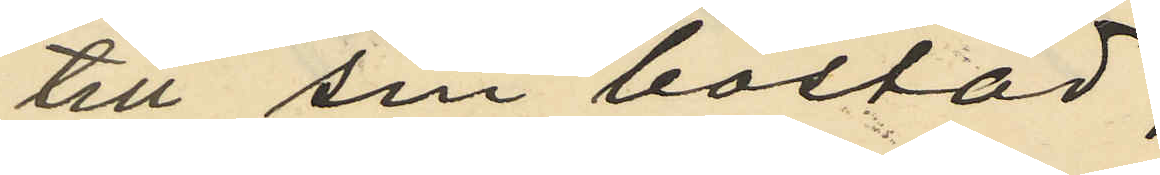till sin bostad;
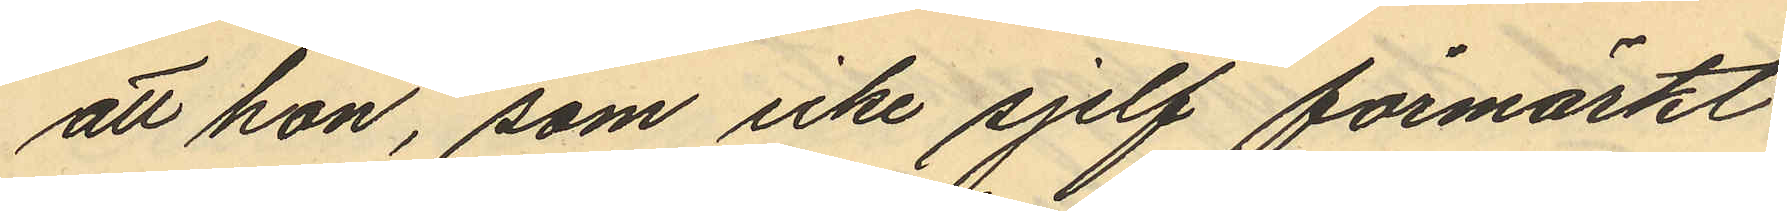att hon, som icke sjelf förmärkt
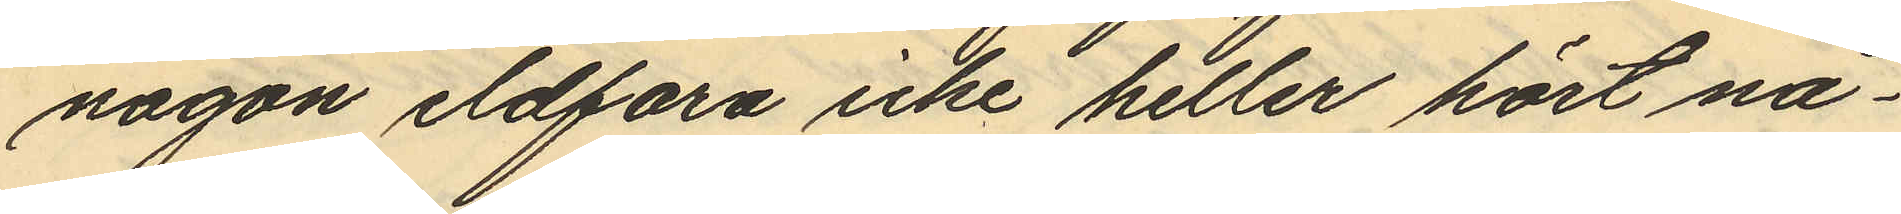någon eldfara icke heller hört nå¬
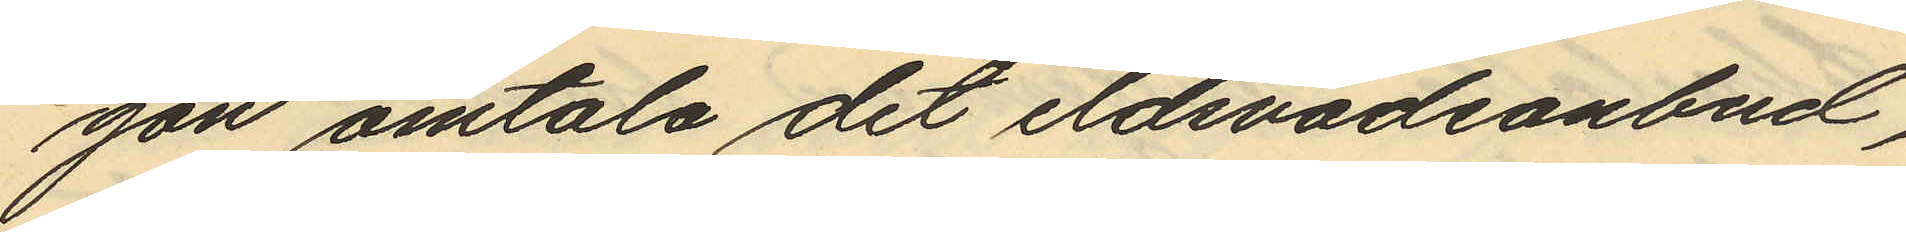gon omtala det eldsvådeanbud,
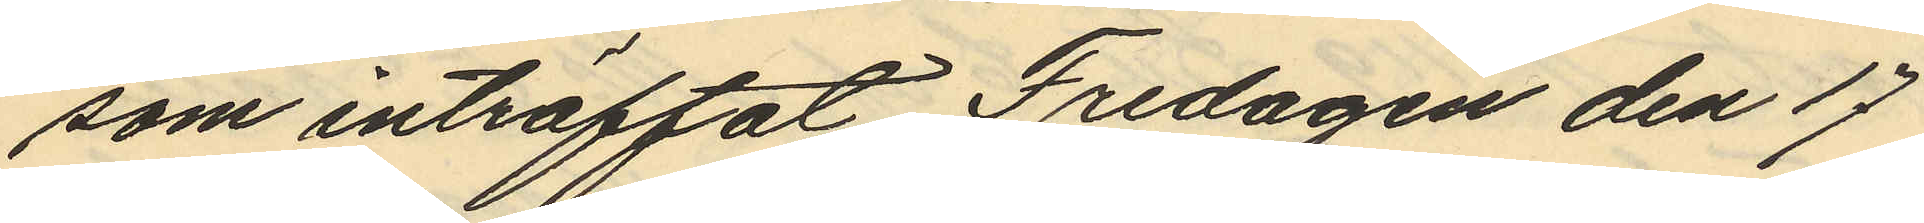som inträffat Fredagen den 17
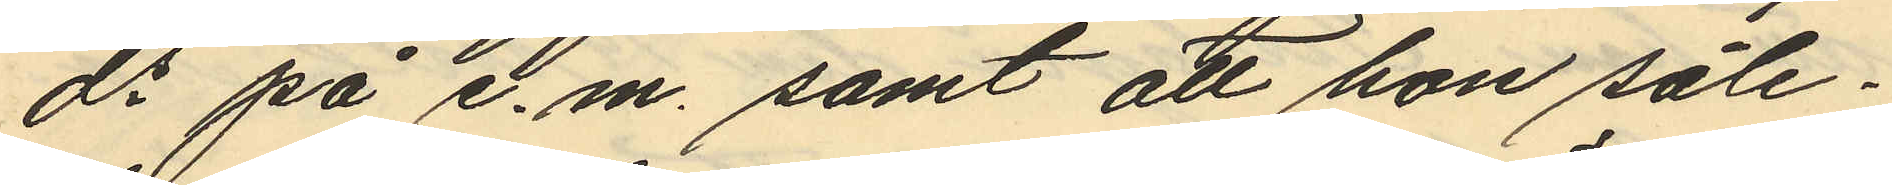ds på e. m. samt att hon såle¬
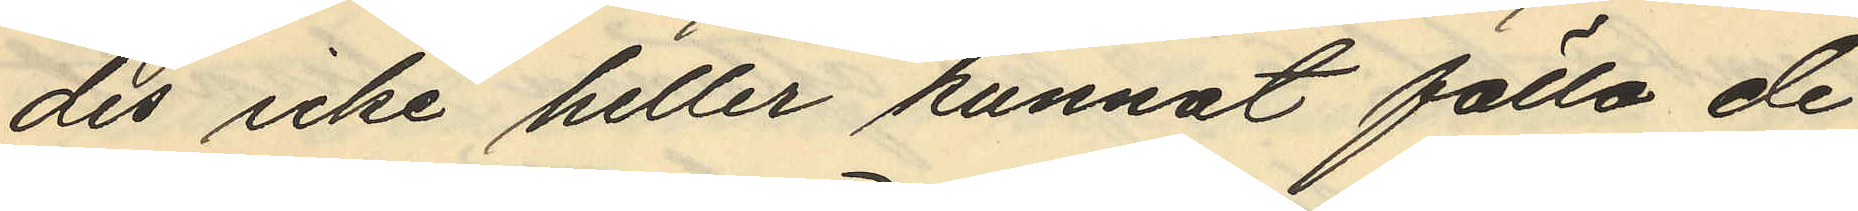des icke heller kunnat fälla de
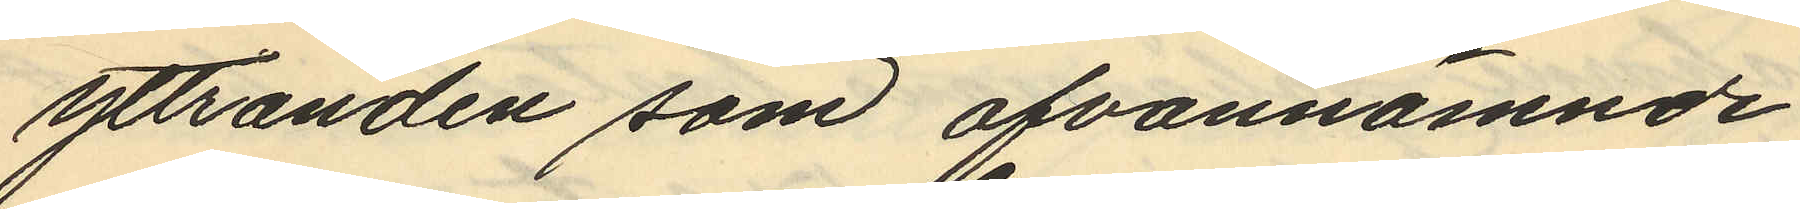yttranden som ofvannämnde
